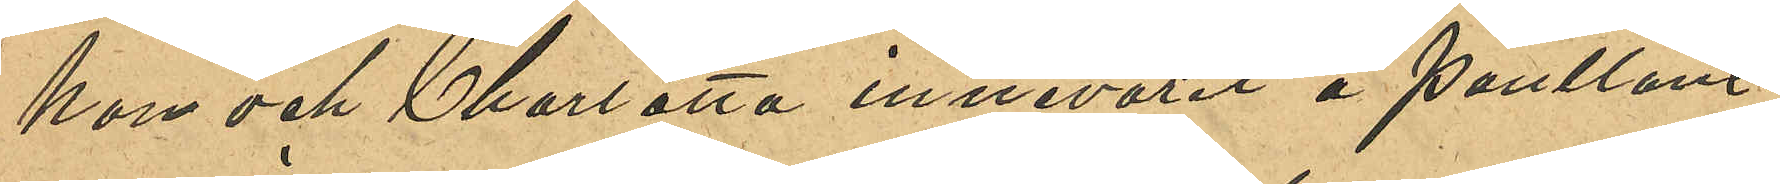hon och Charlotta innevarit å pantlåne¬
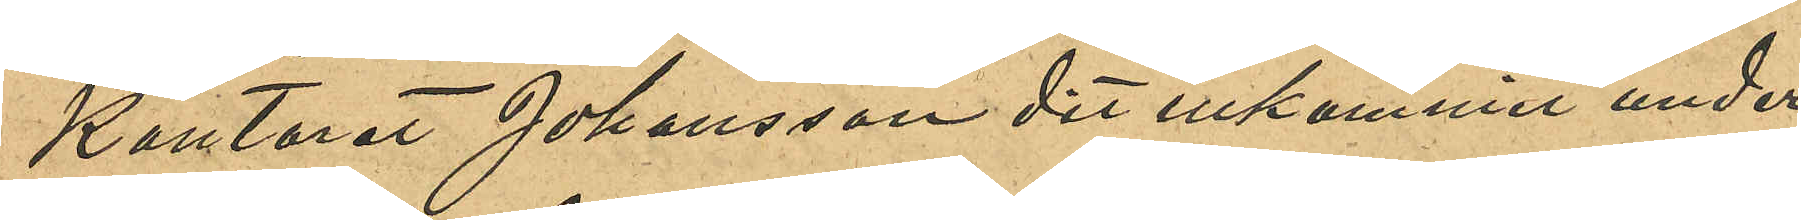kontoret Johansson dit inkommit under
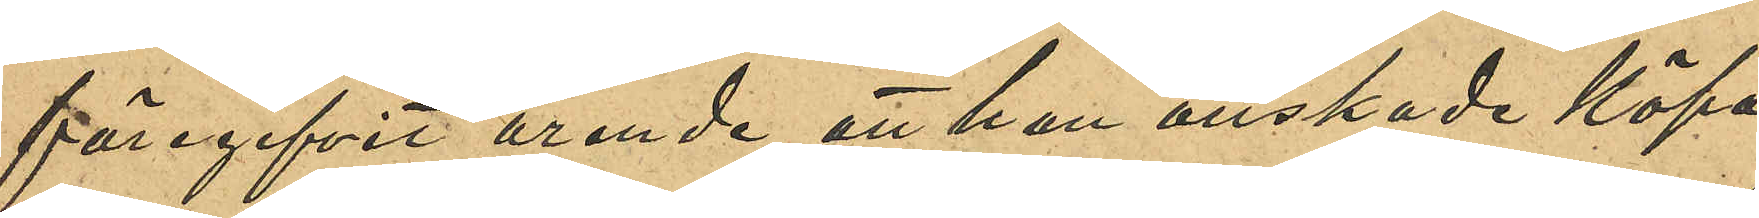föregifvit ärende att han önskade köpa
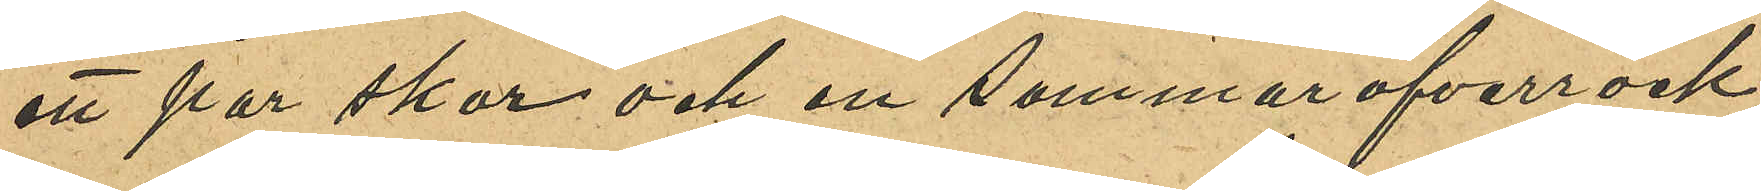ett par skor och en sommaröfverrock;
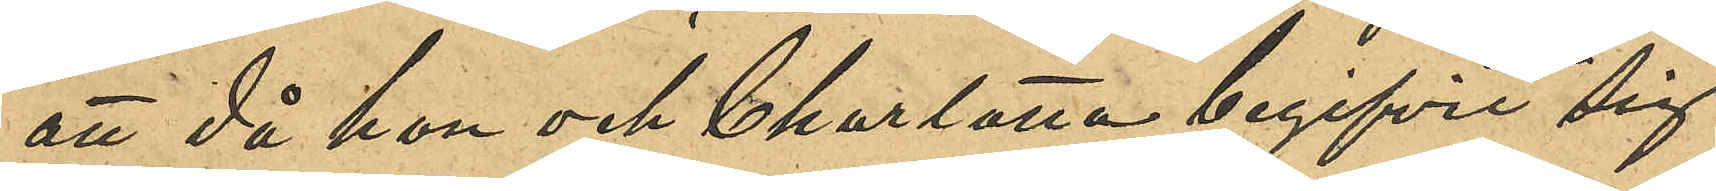att då han och Charlotta begifvit sig
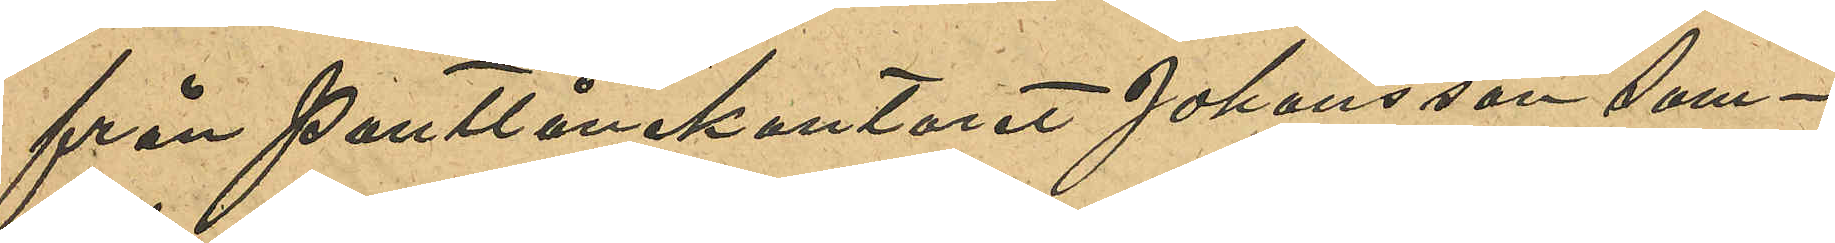från Pantlånekontoret Johansson sam¬
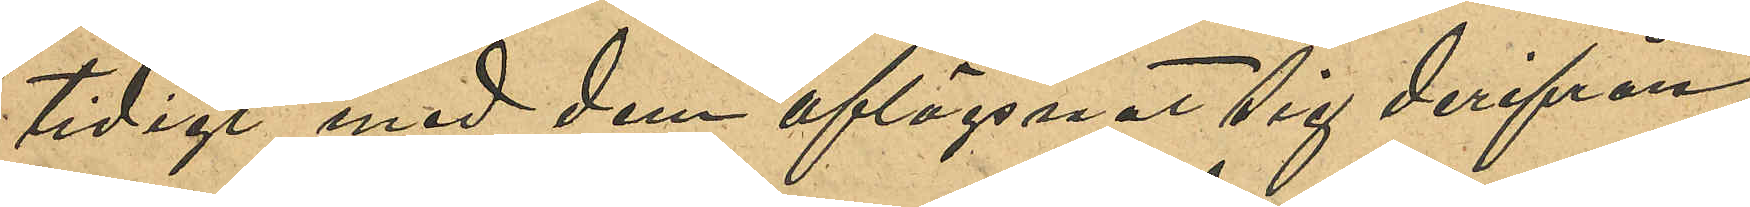tidigt med dem aflägsnat sig derifrån;
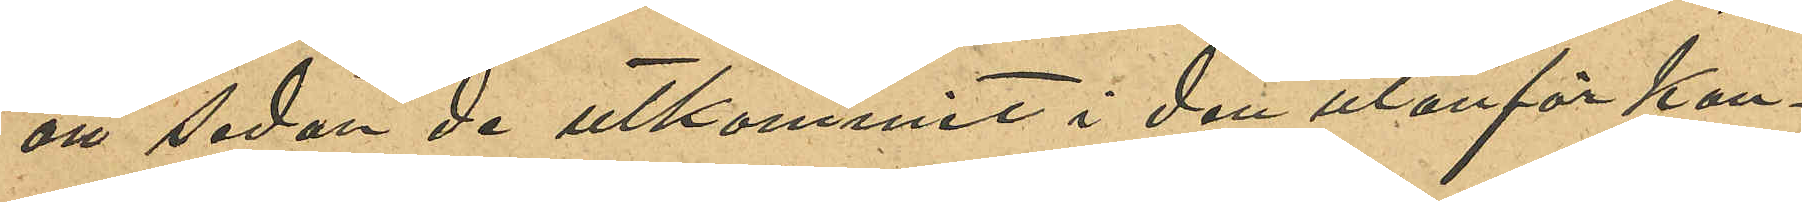att sedan de utkommit i den utanför kon¬
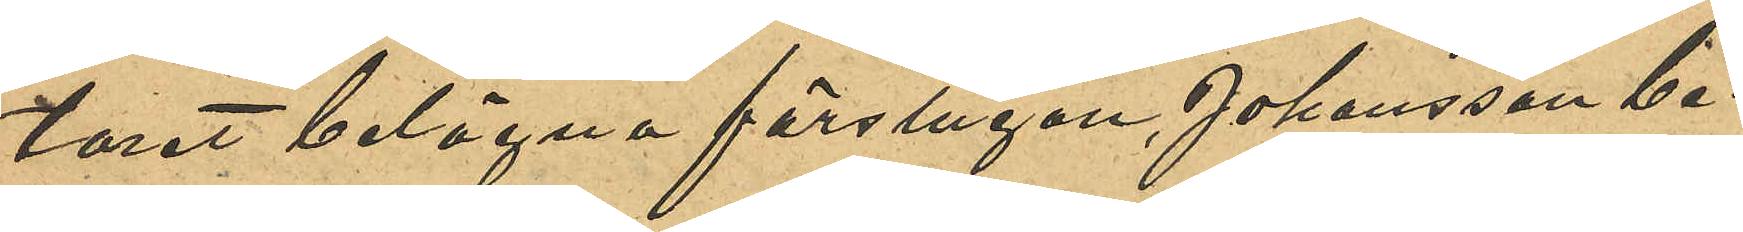toret belägna förstugan, Johansson be¬
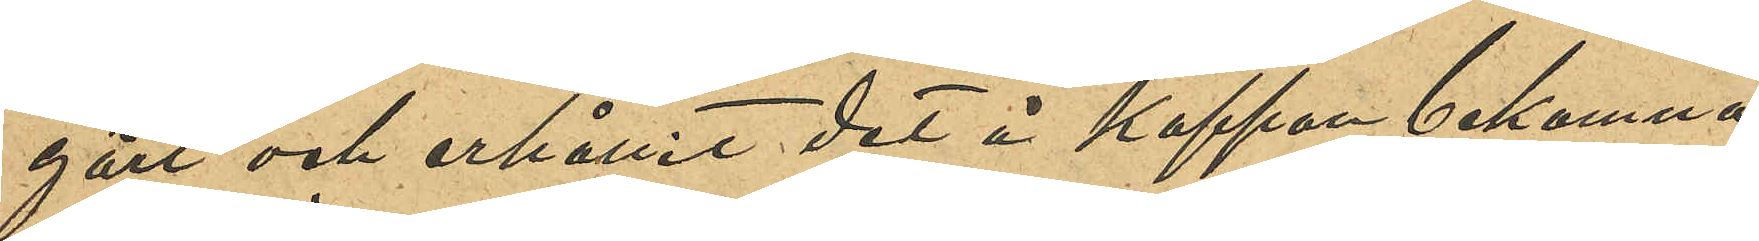gärt och erhållit det å kappan bekomma
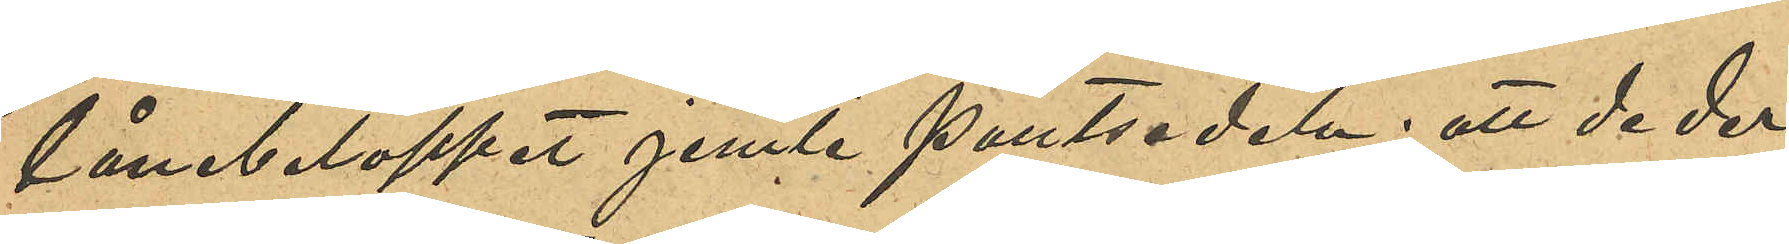lånebeloppet jemte pantsedeln: att de der¬
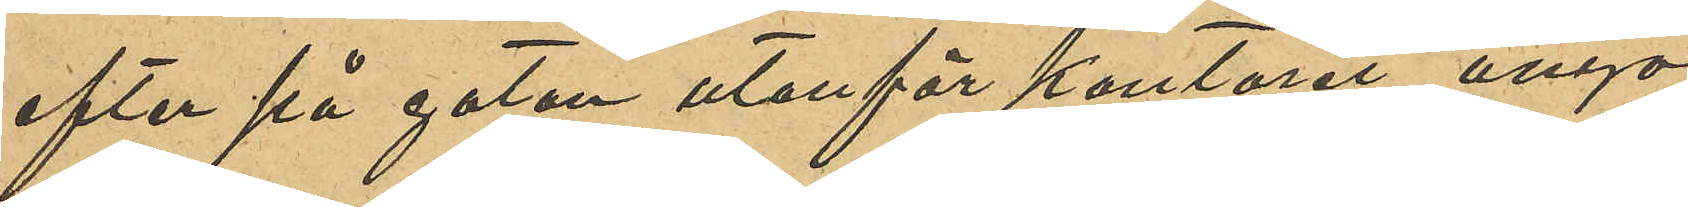efter på gatan utanför kontoret ånyo
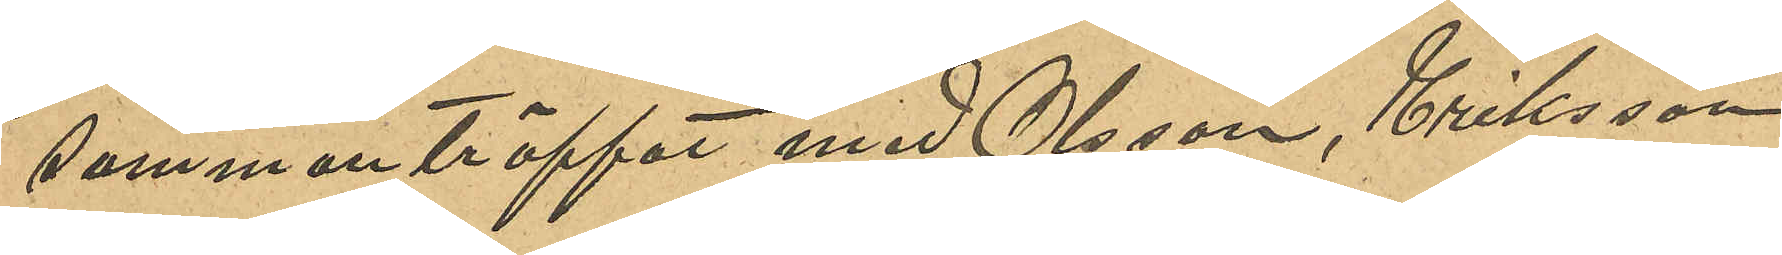sammanträffat med Olsson, Eriksson
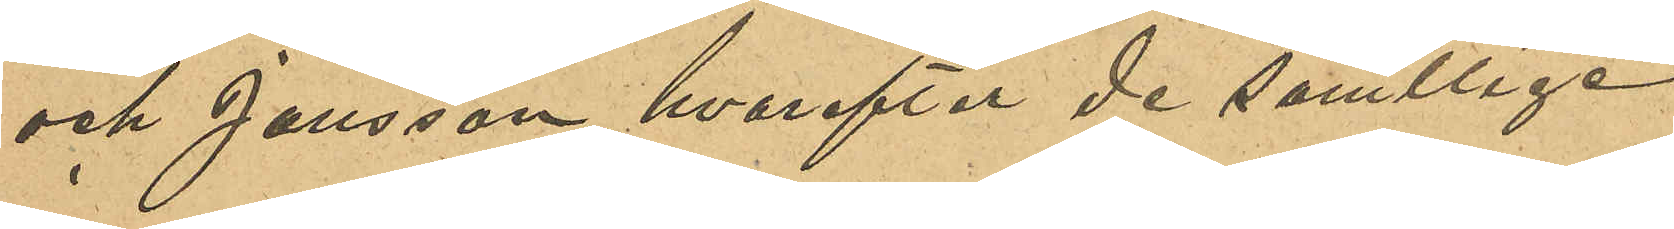och Jansson, hvarefter de samtlige
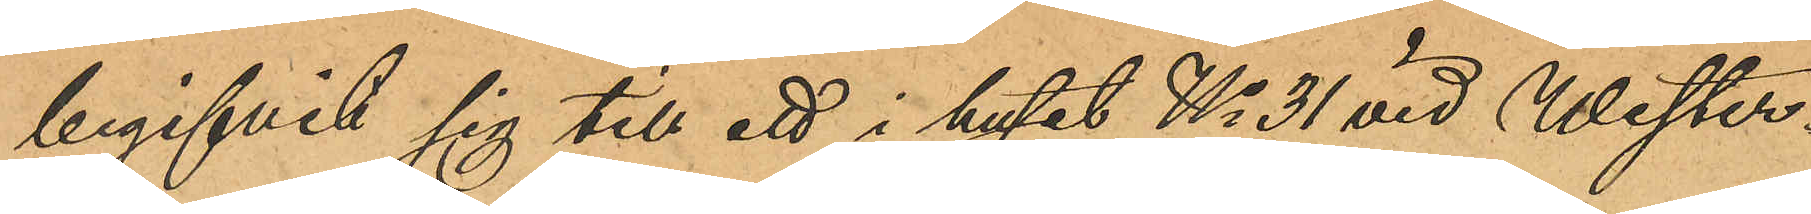begifvit sig till ett i huset No 31 vid Wester¬
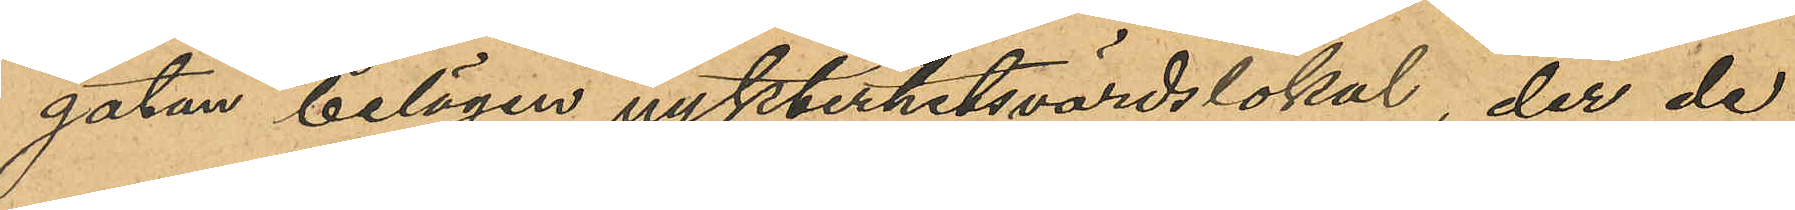gatan belägen nykterhetsvärdslokal der de
